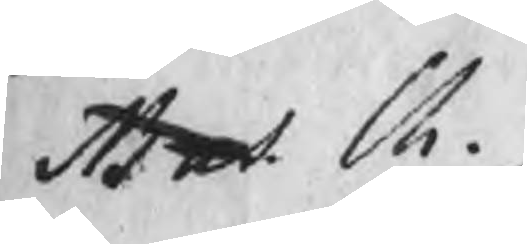Mut Ch.
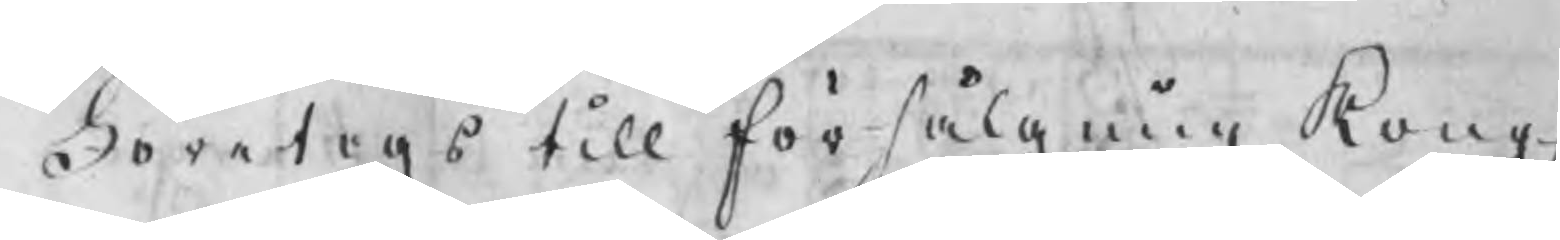Företogs till försälgning Kongl.
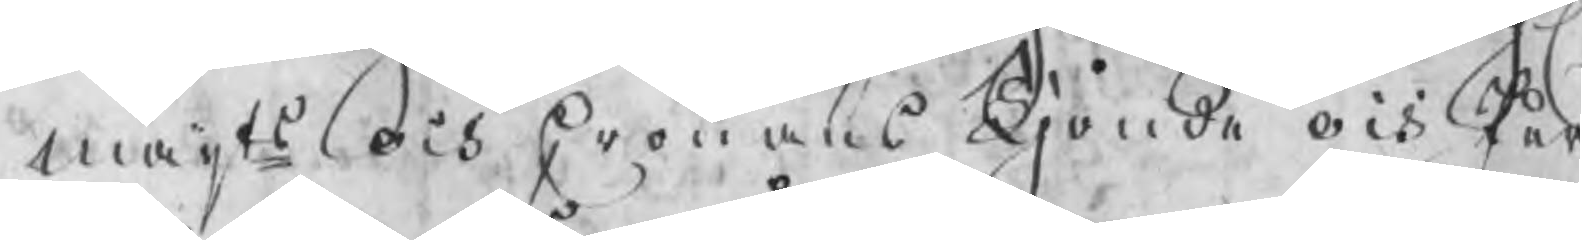maijts och Cronans Tjonde och Jer
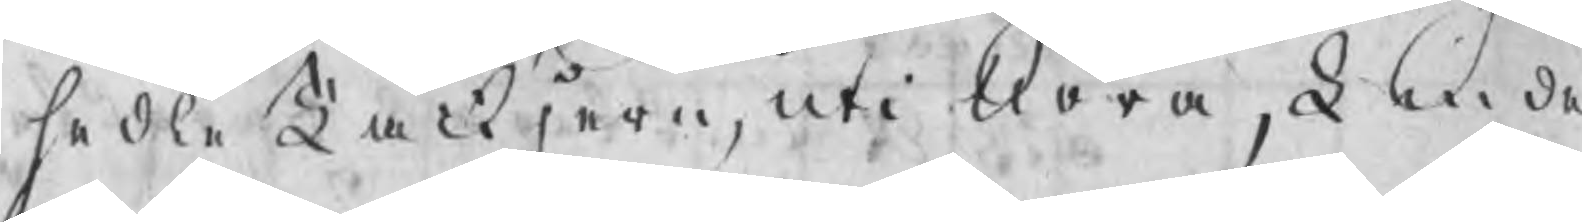hedle Tackjern, uti Nora, Linde
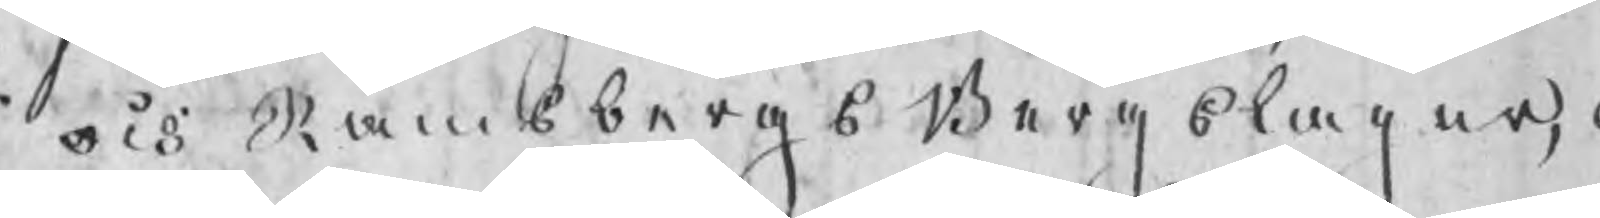och Ramsbergs Bergslager, o
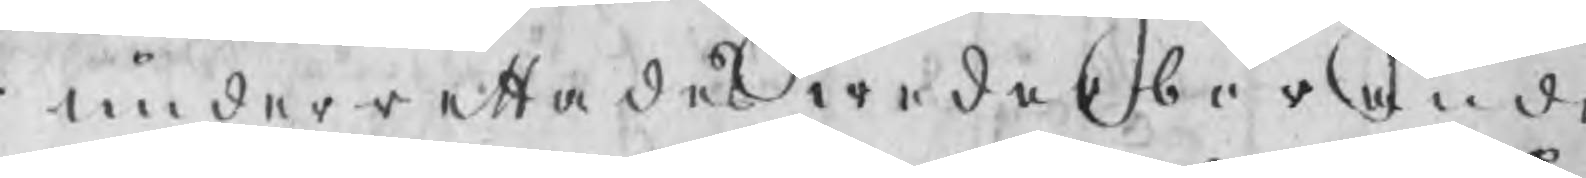underrettades wderböarnde
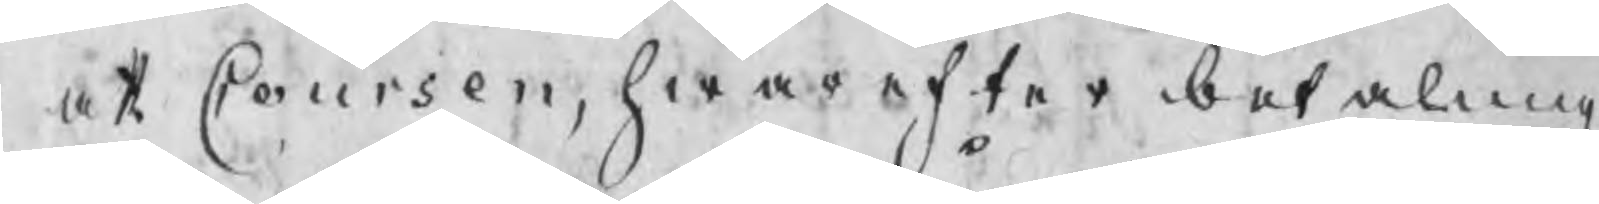at Coursen, hwarefter betalning
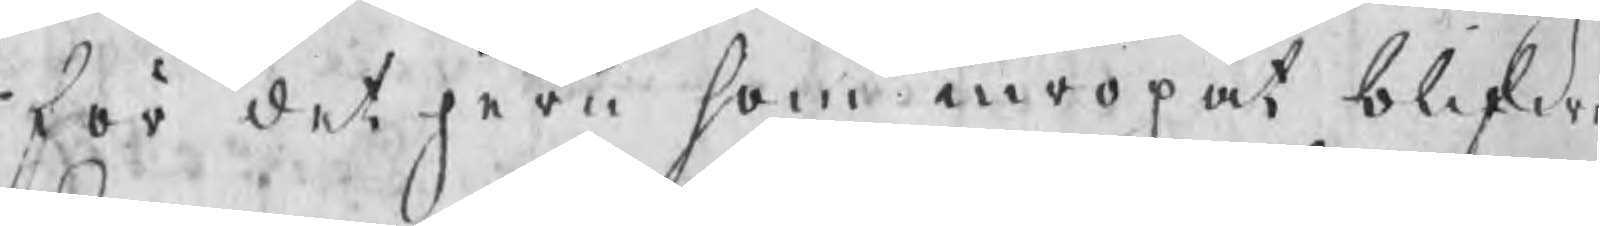för det jern som inropat blifw
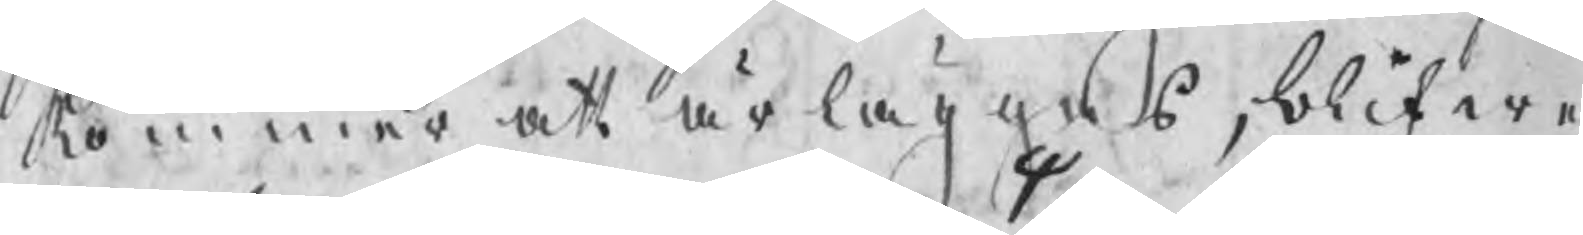kommer att ärläggas, blifwer
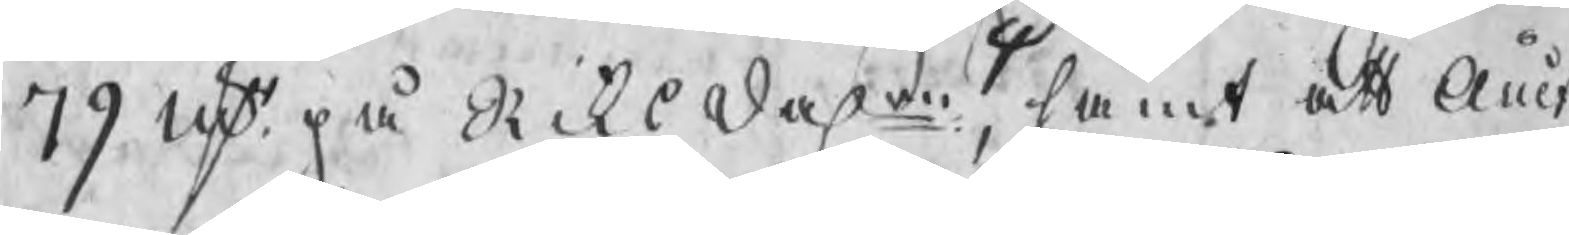79 nst på Riksdal, samt att Auct
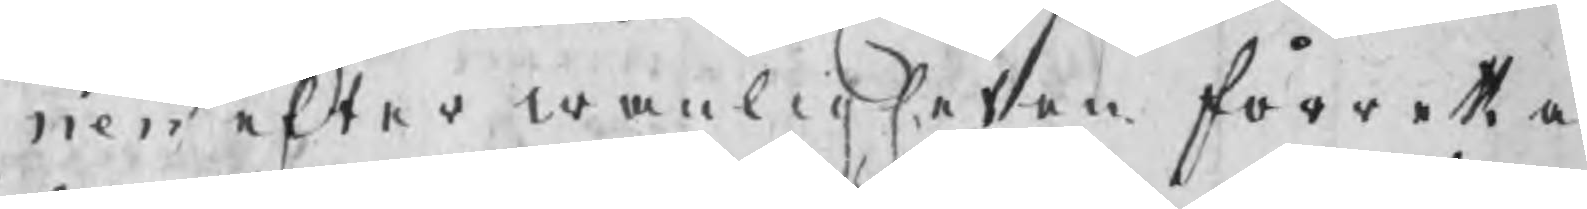nen efter wanligheten förrettas
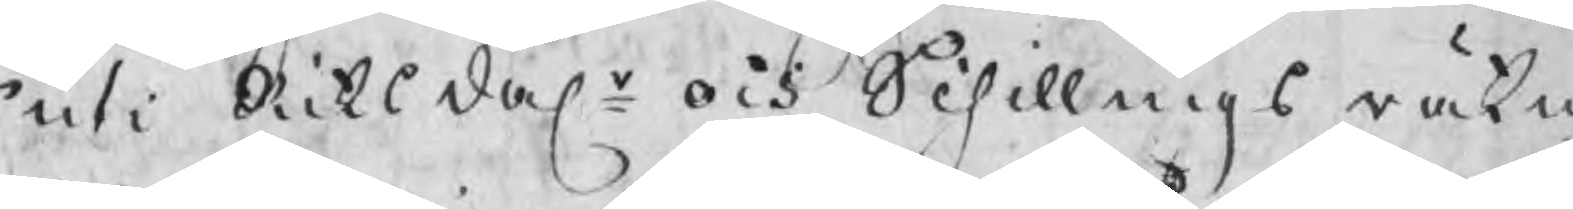uti Riksdalr och Schillings räkni
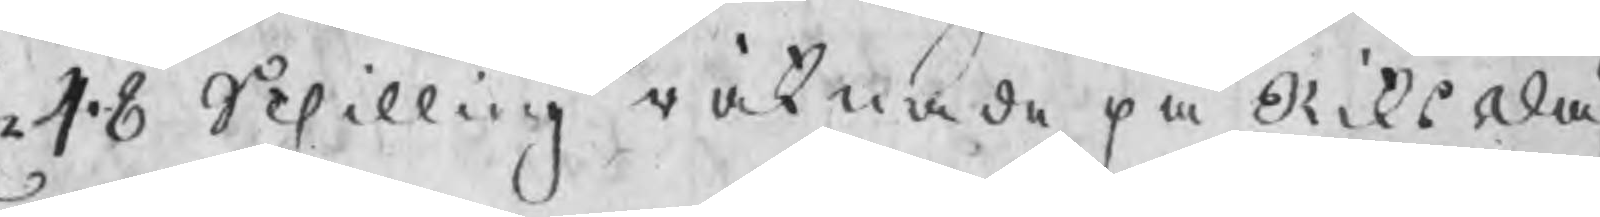48 Schilling räknade på Riksdal
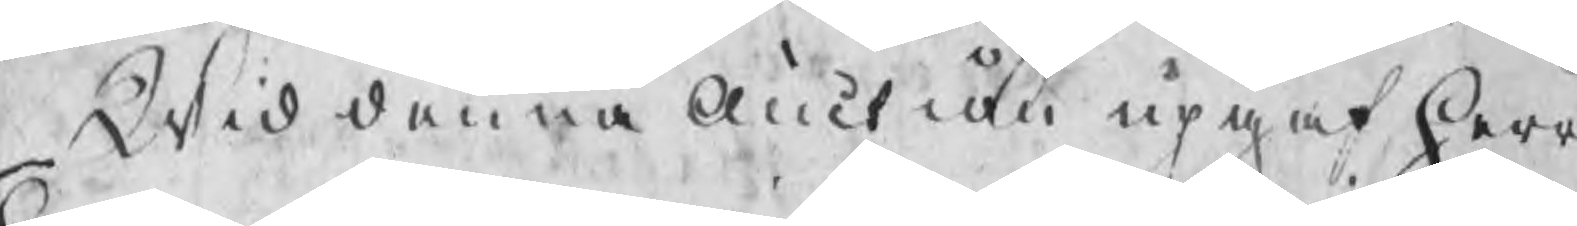Wid denna Auction upgaf herr
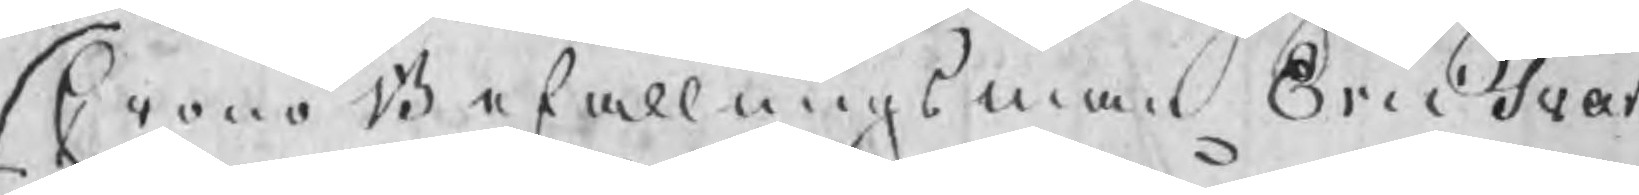CronoBefallningsman Eric Svar
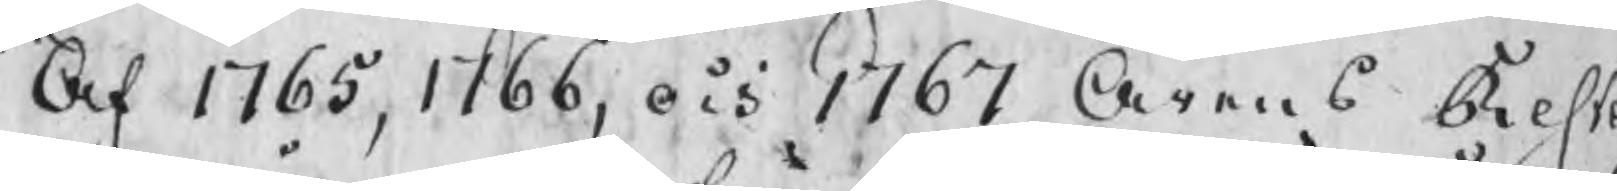Af 1765, 1766, och 1767 Årens Rest
